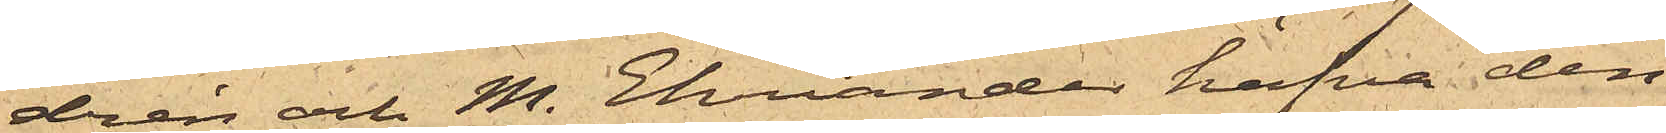drén och M. Ehriander hafva den
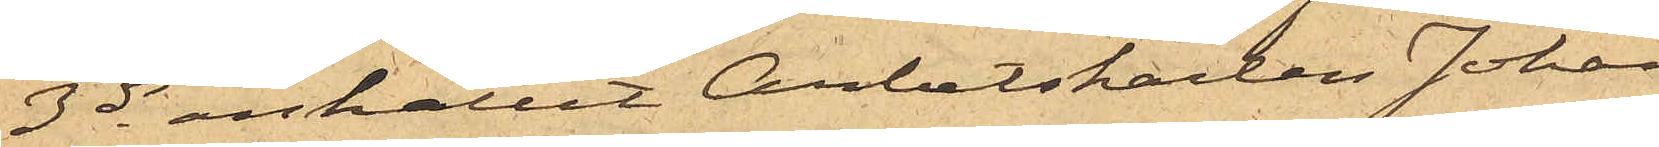3 ds anhållit Arbetskarlen Johan
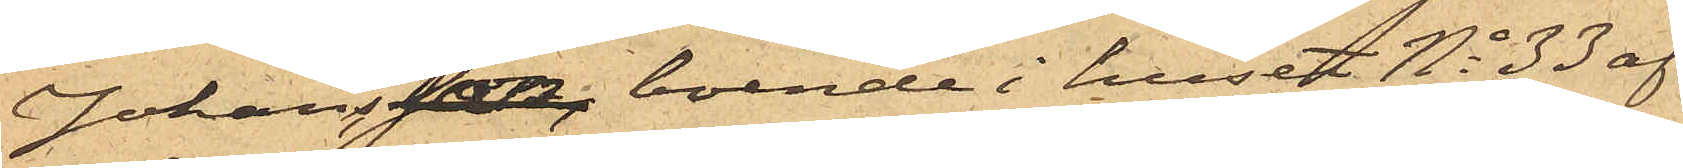Johansson, boende i huset No 33 af
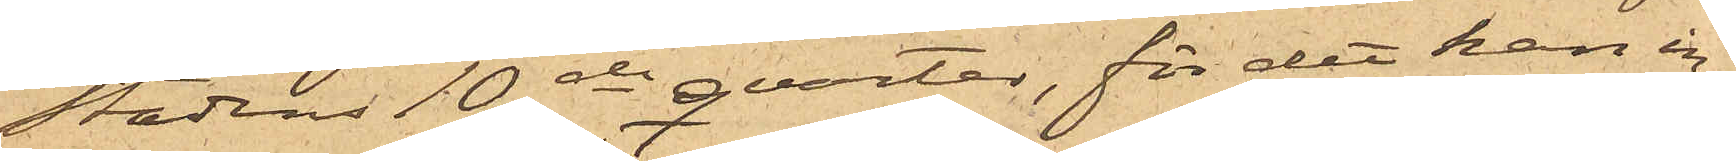stadens 10de qvarter, för det han in¬
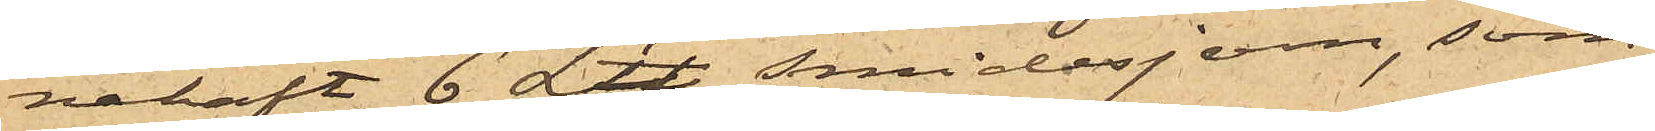nehaft 6 L℔ smidesjern, som
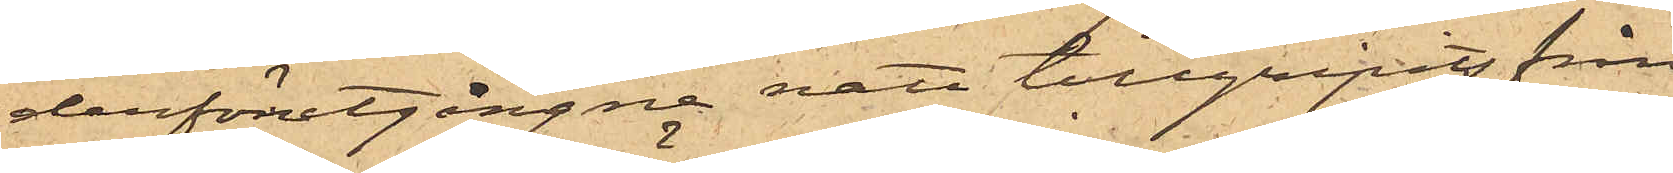derförutgångne natt tillgripits från
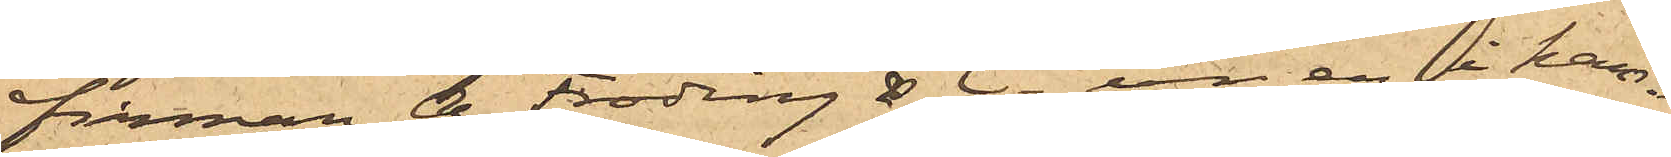Firman A. Fröding & Ci ur en i ham¬
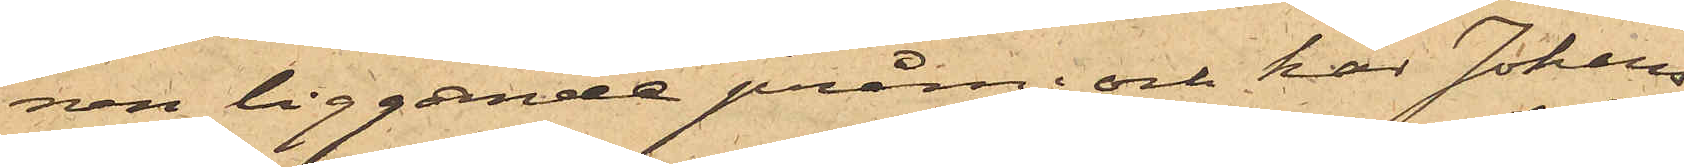nen liggande pråm; och har Johans¬
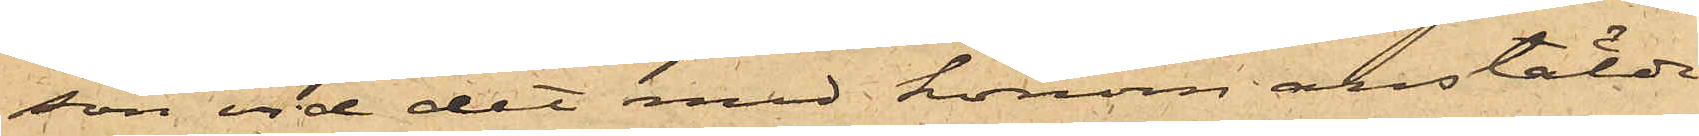son vid det med honom anstäldt
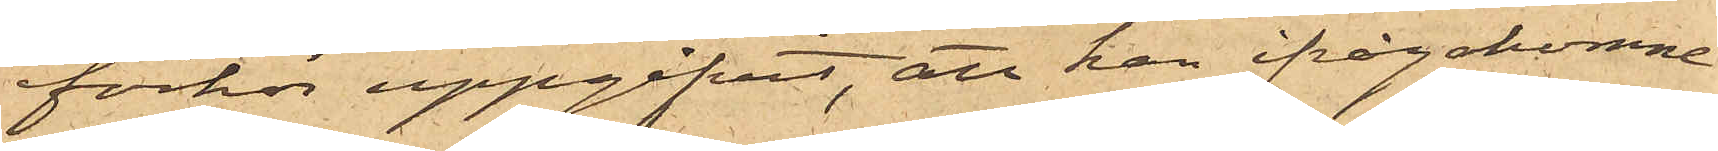förhör uppgifvit, att han ifrågakomne
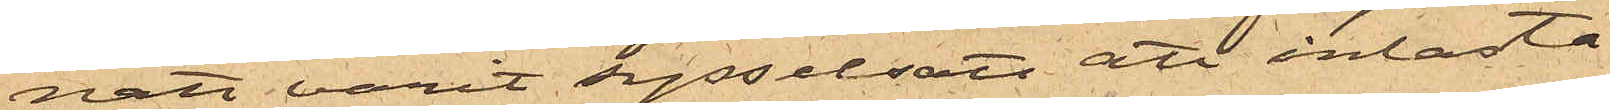natt varit sysselsatt att inlasta
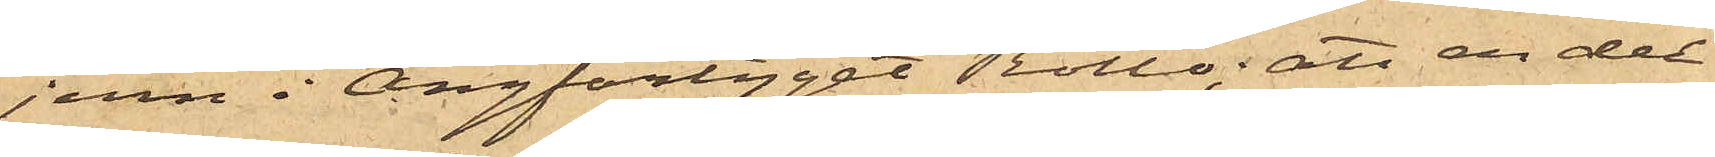jern i Ångfartyget Rollo; att en del
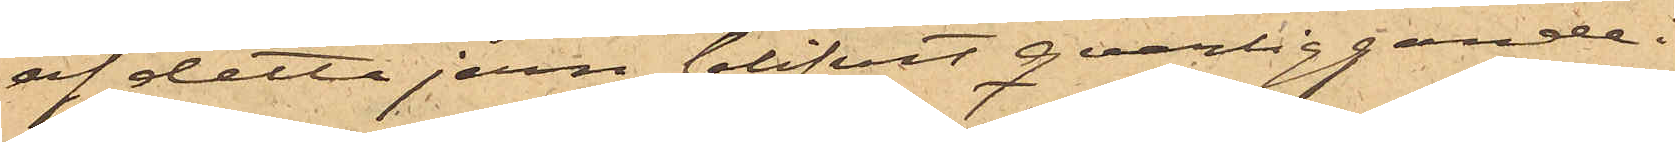af detta jern blifvit qvarliggande i
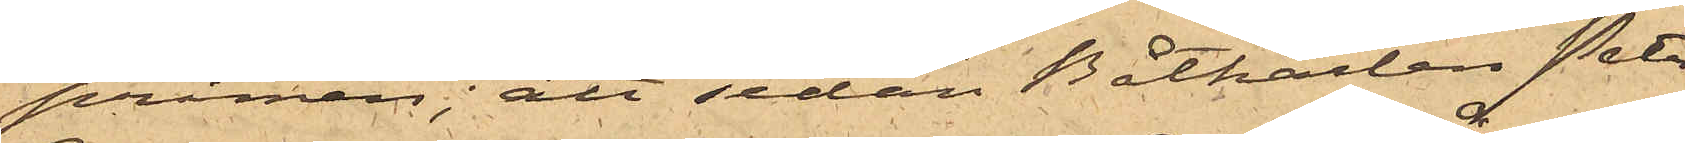pråmen; att sedan Båtkarlen Peter
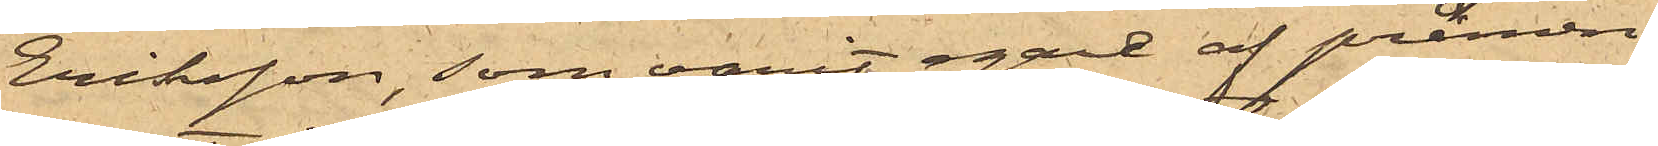Eriksson, som varit egare af pråmen,
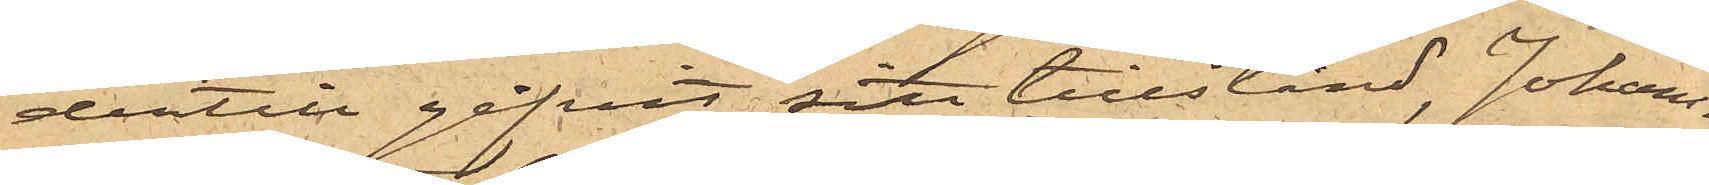dertill gifvit sitt tillstånd, Johans¬
